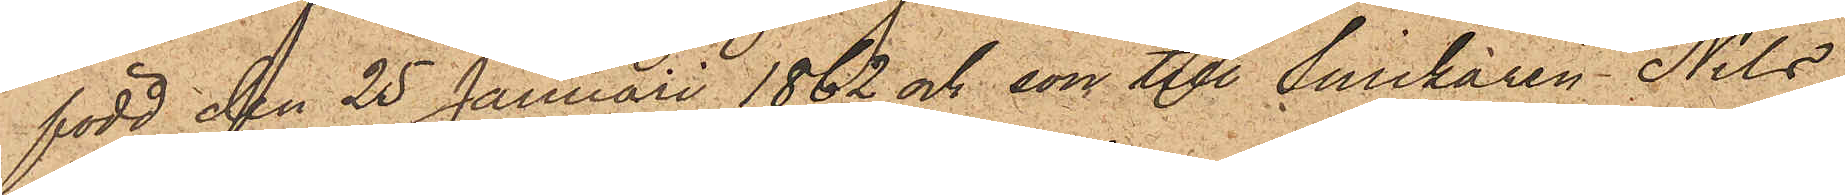född den 25 Januari 1862 och son till Snickaren Nils
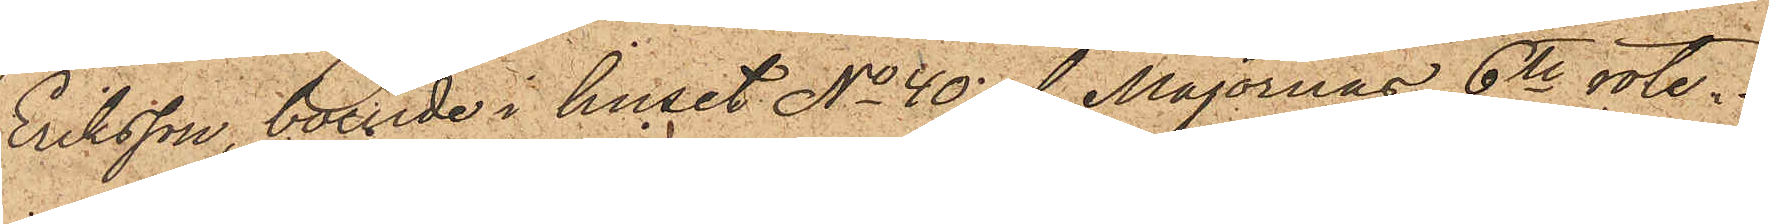Eriksson, boende i huset No 40 af Majornas 6te rote.
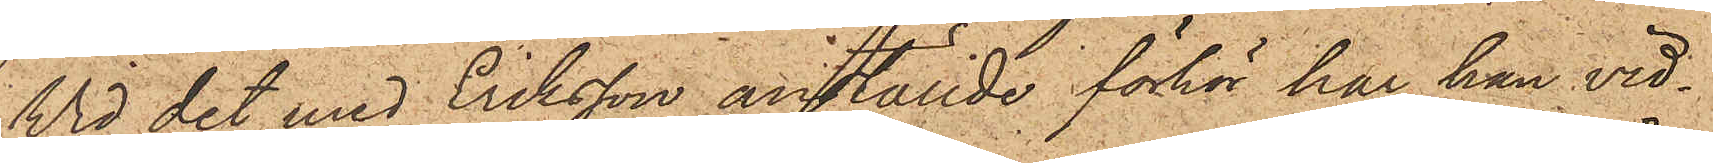Wid det med Eriksson anställde förhör har han vid¬
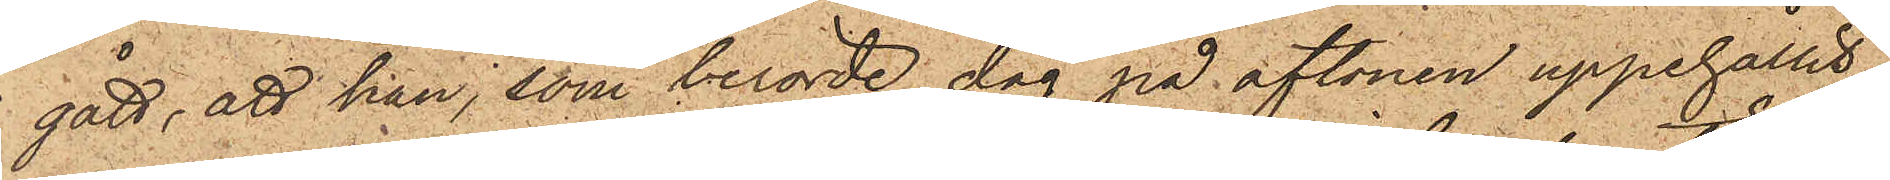gått, att han, som berörde dag på aftonen uppehållit
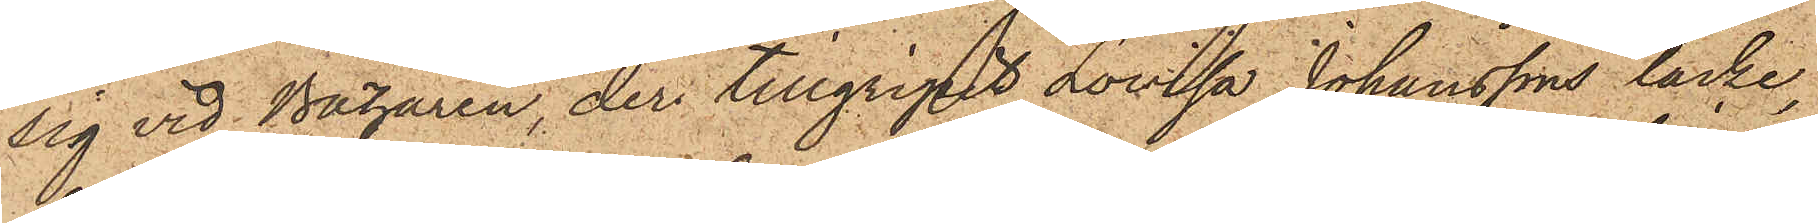sig vid Bazaren, der tillgripit Lovisa Johanssons täcke,
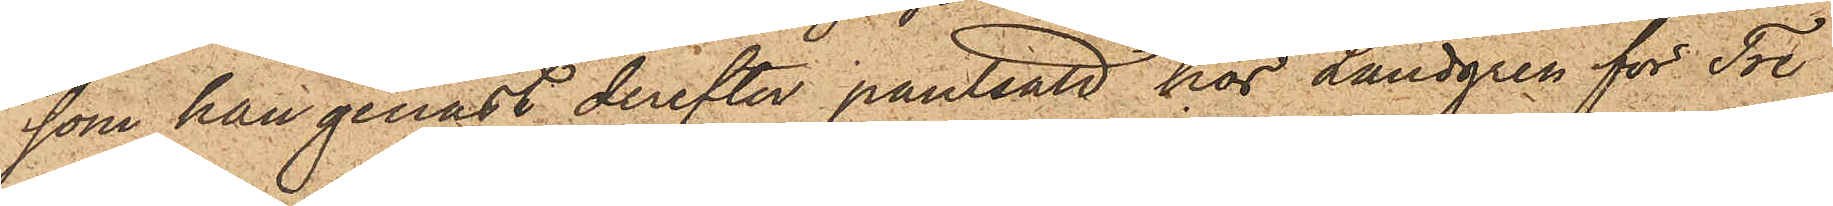som han genast derefter pantsatt hos Landgren för Tre
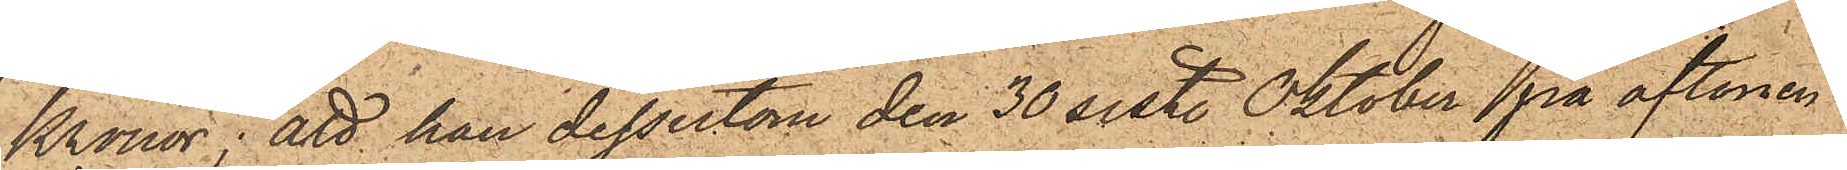Kronor; att han dessutom den 30 sist. Oktober på aftonen
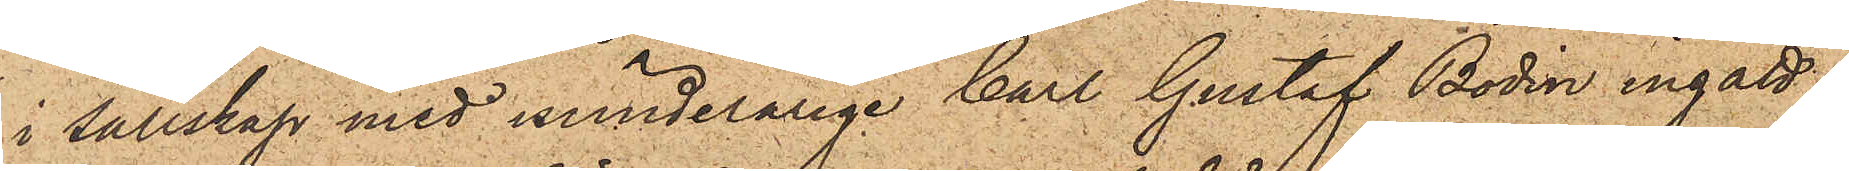i sällskap med minnderårige Carl Gustaf Bodin ingått
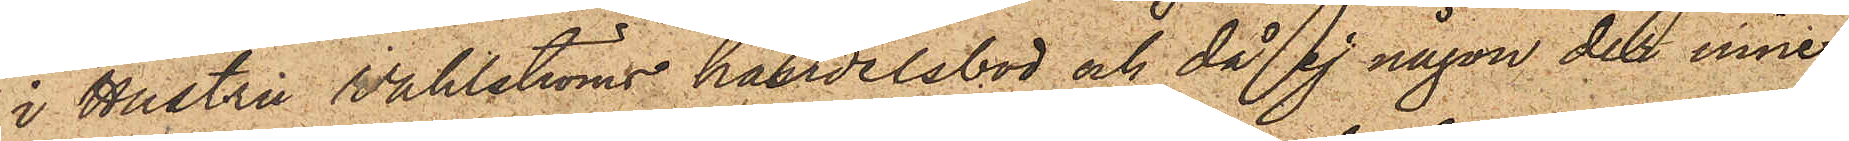i Hustru Wahlströms handelsbod och då ej någon dels inne¬
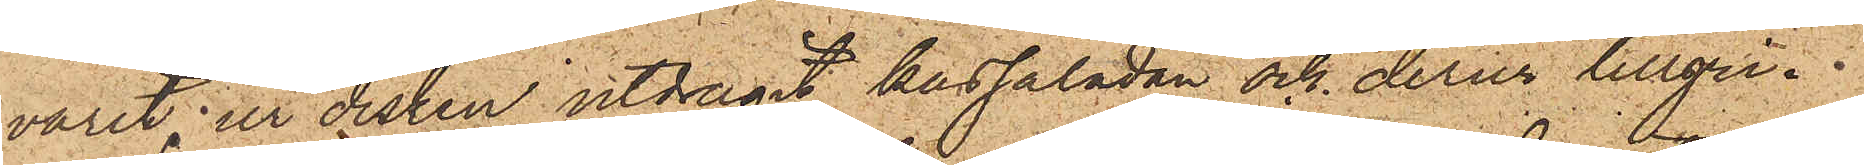varit, ur disken utdragit kassalådan och derur tillgri¬
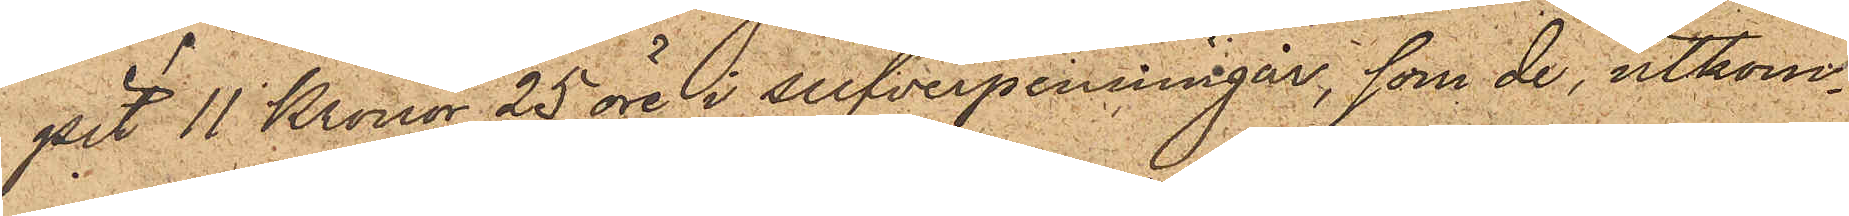pit 11 Kronor 25 öre i silfverpenningar, som de, utkom¬
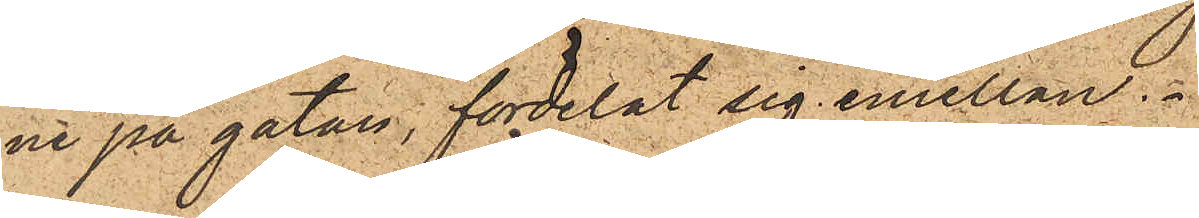ne på gatan, fördelat sig emellan.
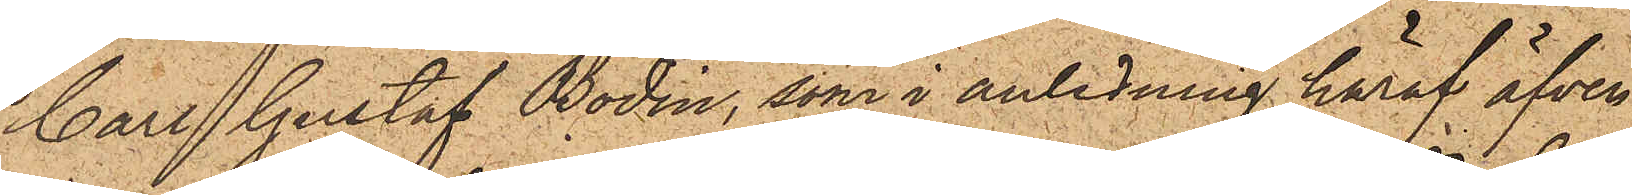Carl Gustaf Bodin, som i anledning häraf äfven
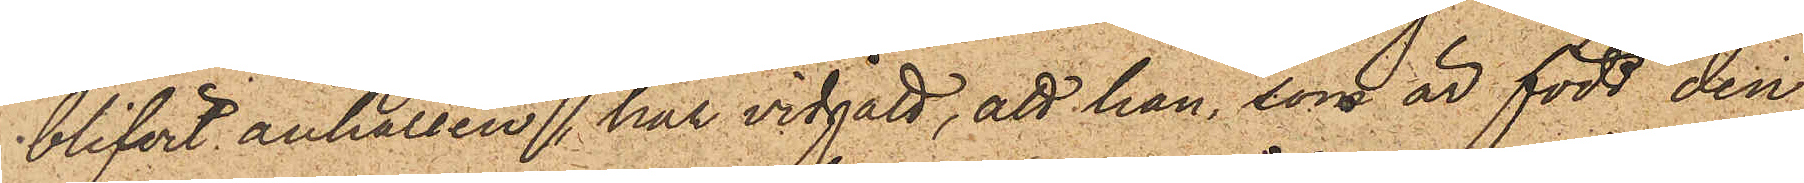blifvit anhållen, har vidgått, att han, som är född den
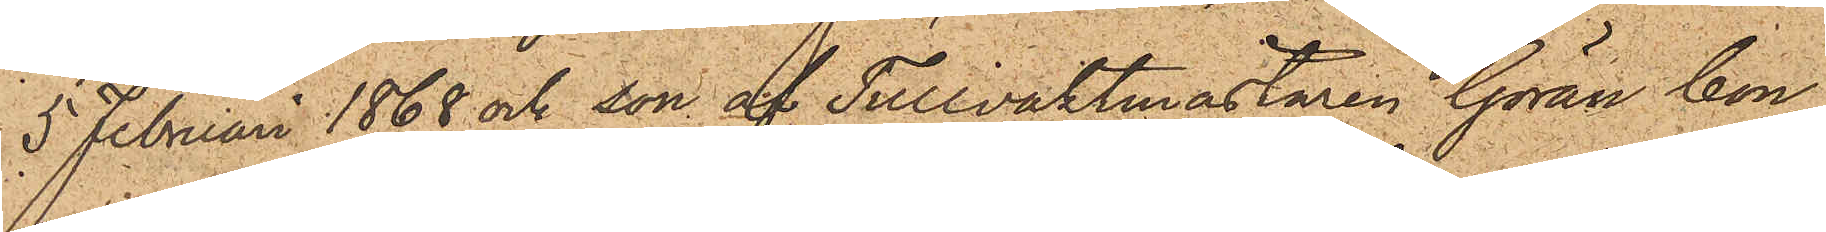5 Februari 1868 och son af Tullvaktmästaren Göran Con¬
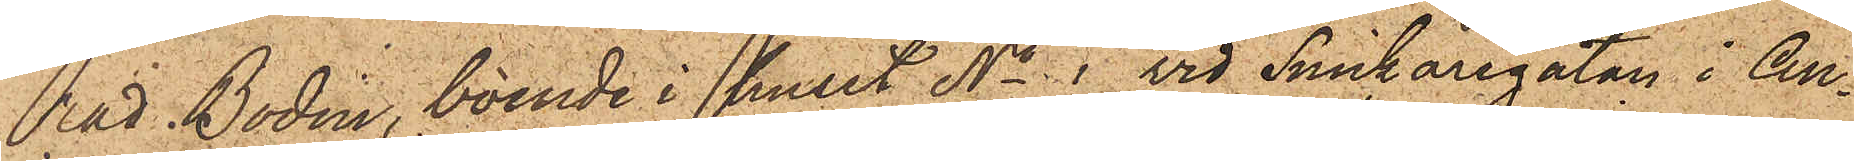rad Bodin, boende i huset No 1 vid Snickaregatan i An¬
